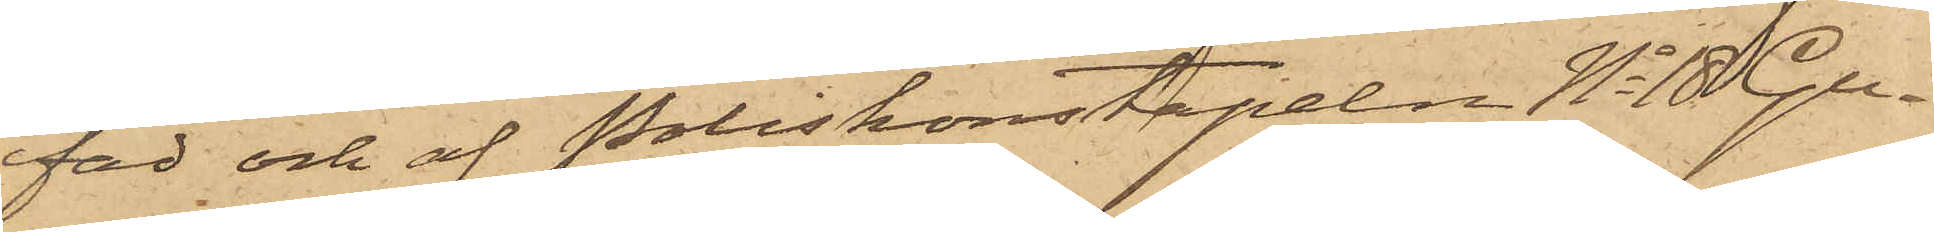fad och af Poliskonstapeln No 18 Gu¬
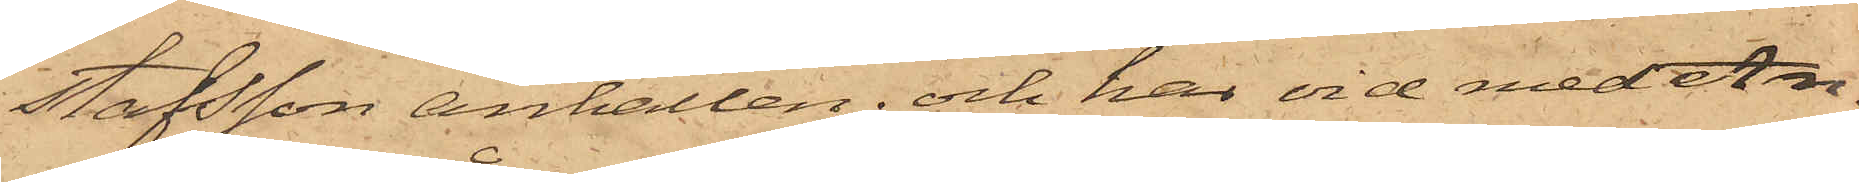stafsson anhållen; och har vid med An¬
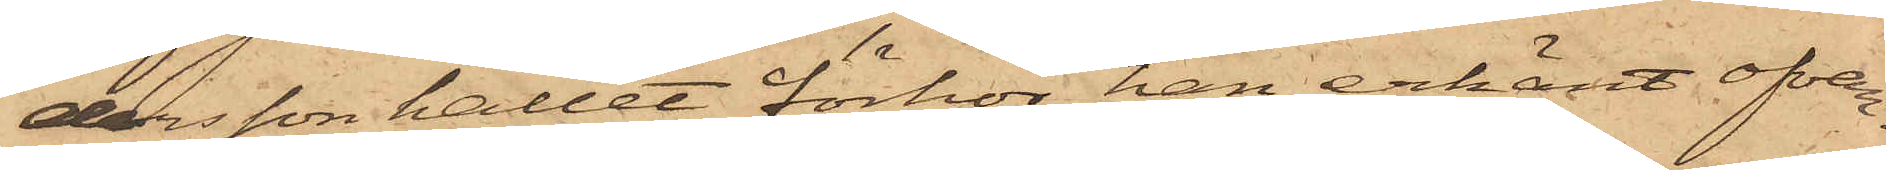dersson hållet förhör han erkänt ofvan¬
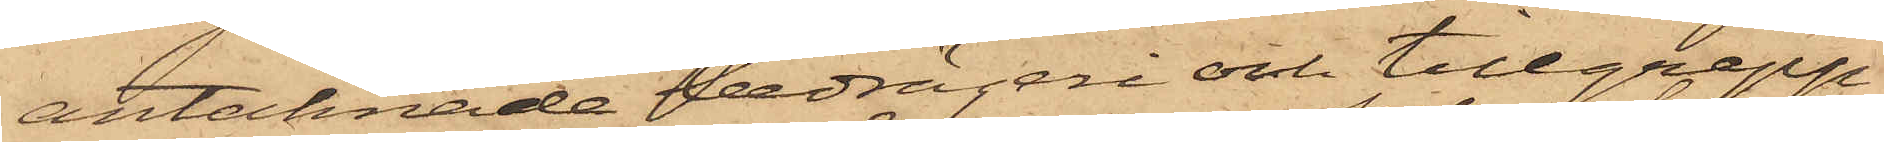antecknade bedrägeri och tillgrepp
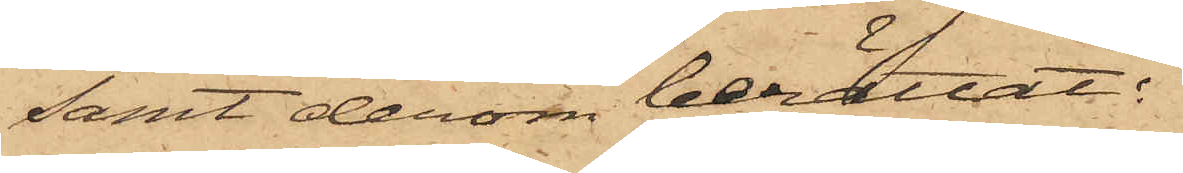samt derom berättat:
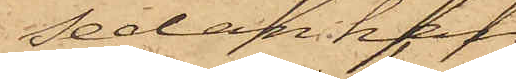sedan han
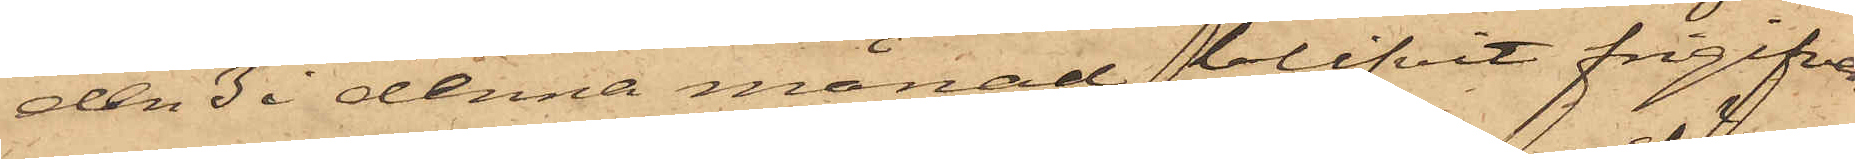den 3 i denna månad blifvit frigifven
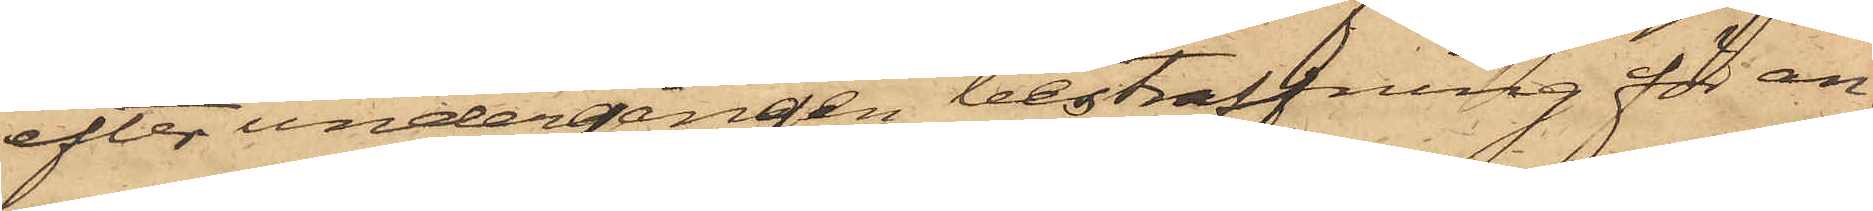efter undergången bestraffning för an¬
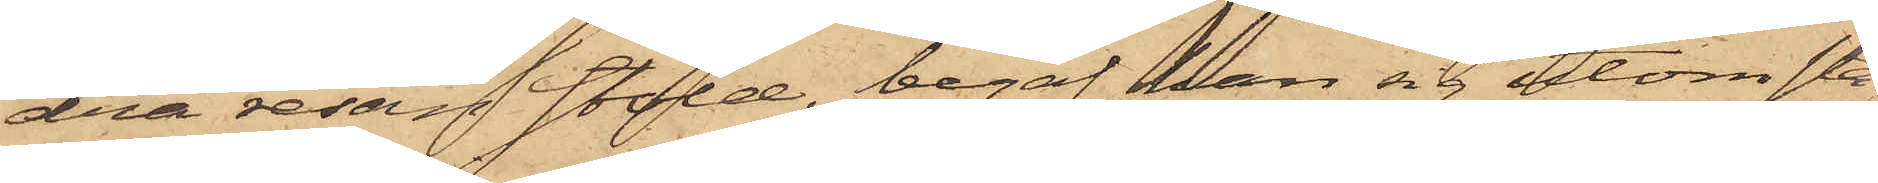dra resan stöld, begaf han sig utom sta¬
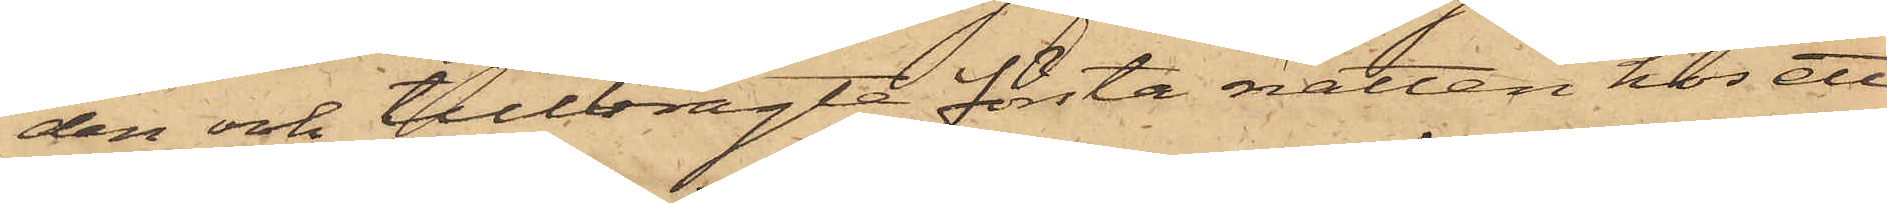den och tillbragte första natten hos ett
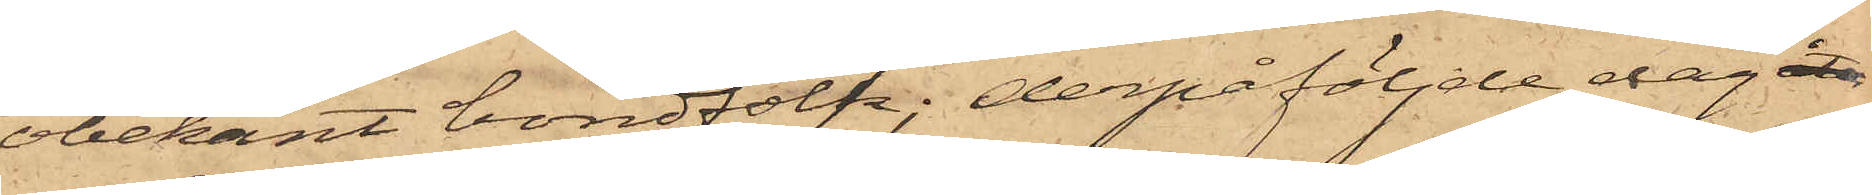obekant bondfolk; derpåföljde dag åter
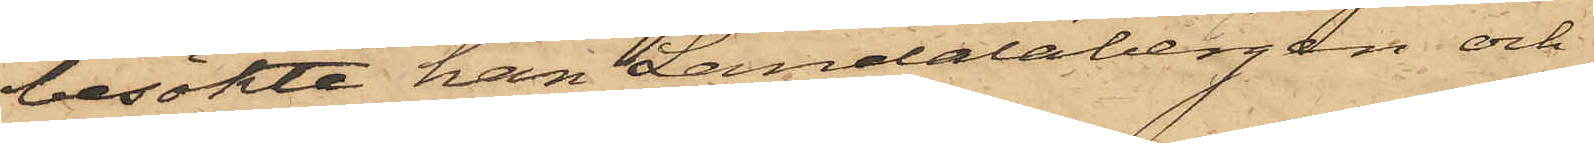besökte han Landalabergen och
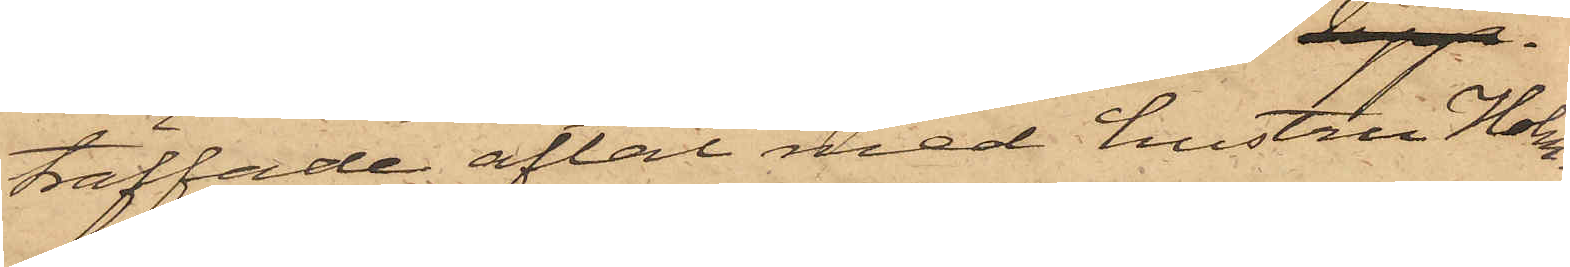träffade aftal med hustru Holm¬
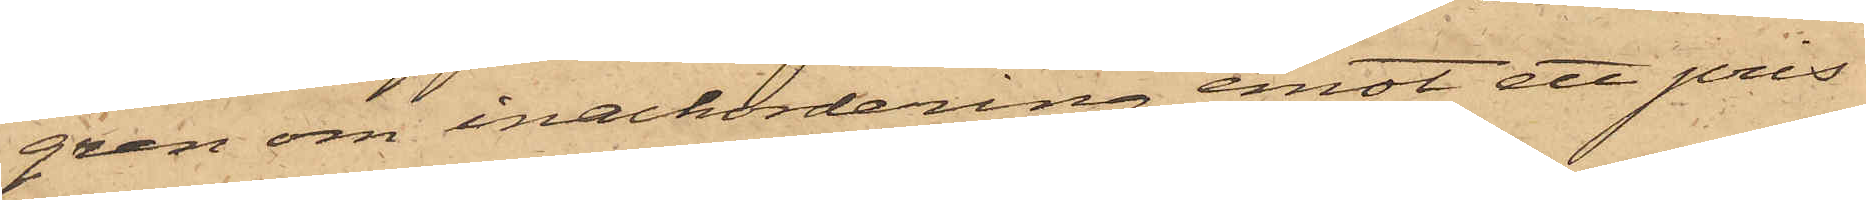gren om inackordering emot ett pris
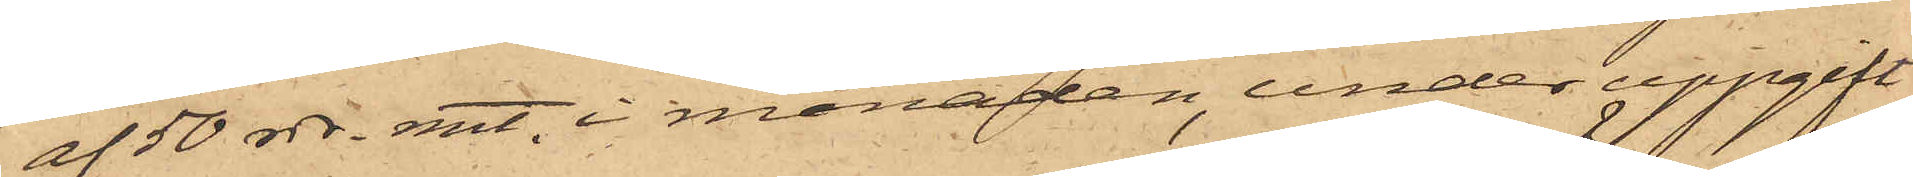af 50 rdr. rmt i månaden, under uppgift
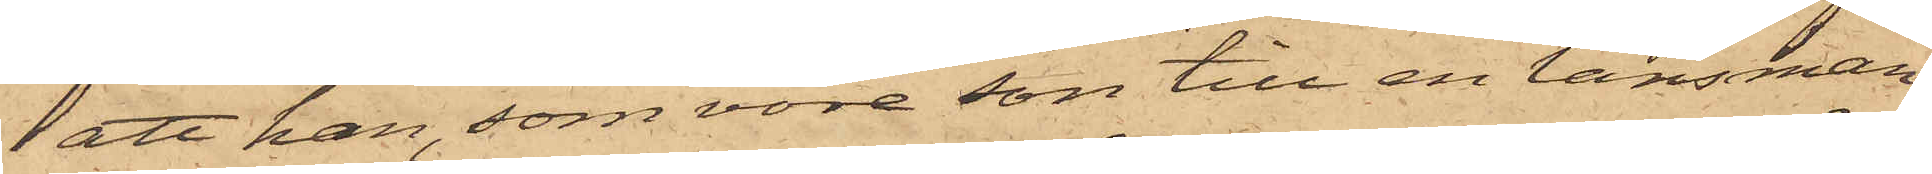att han, som vore son till en länsman
